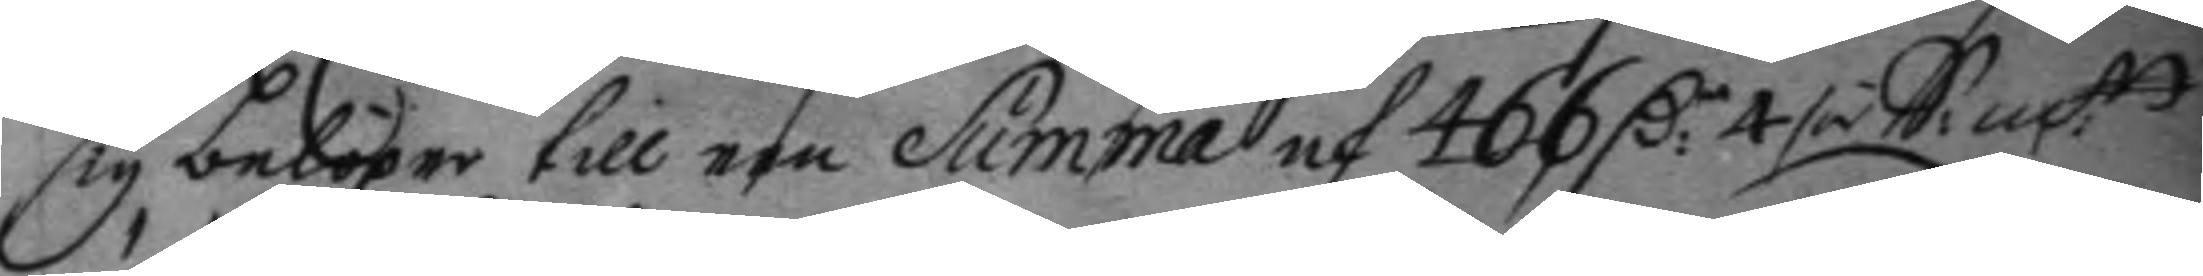sig belöper till een Summa af 466 C:r 4 / öre S:m:tt
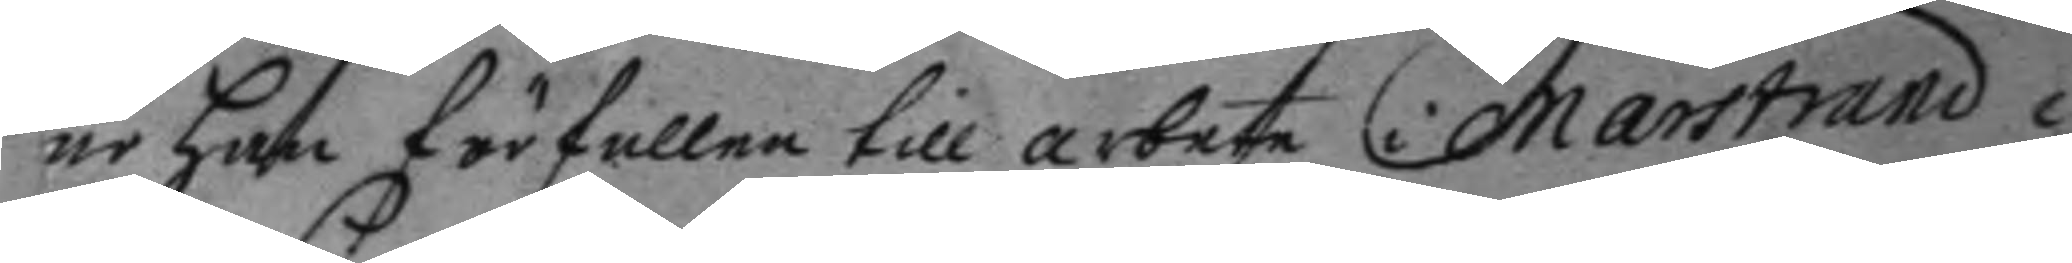är han förfallen till arbete i marstrand i
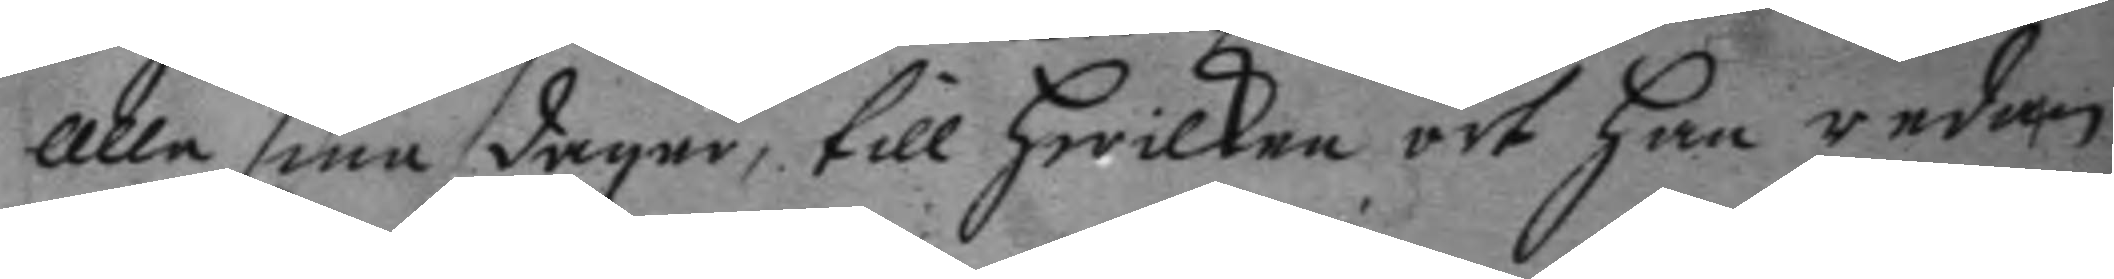alle sine dagar, till hwilken ort han redan
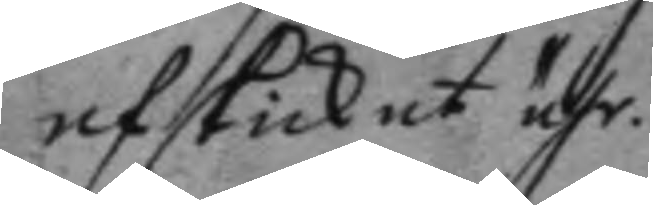afskickat ähr.
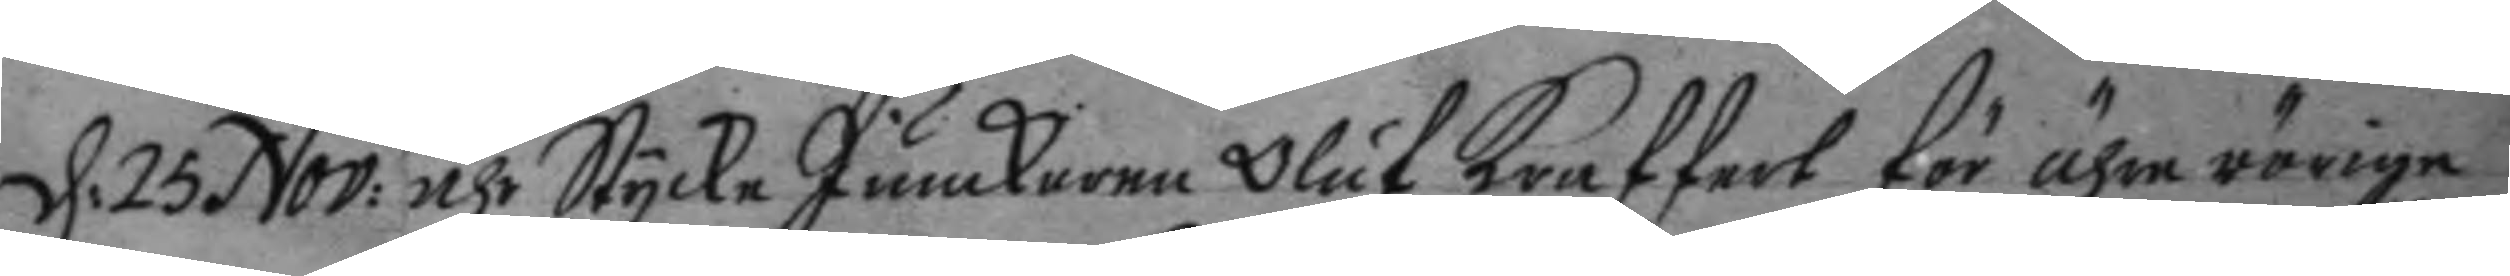d: 25 Nov: ähr Stycke Junckaren Oluf Kraffert för ährerörige
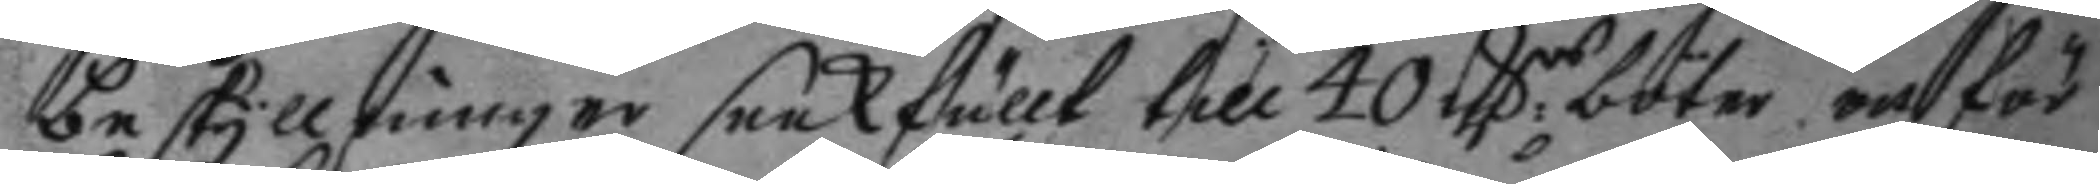beskyllninger saakfällt, till 40 C:rs böter, en för
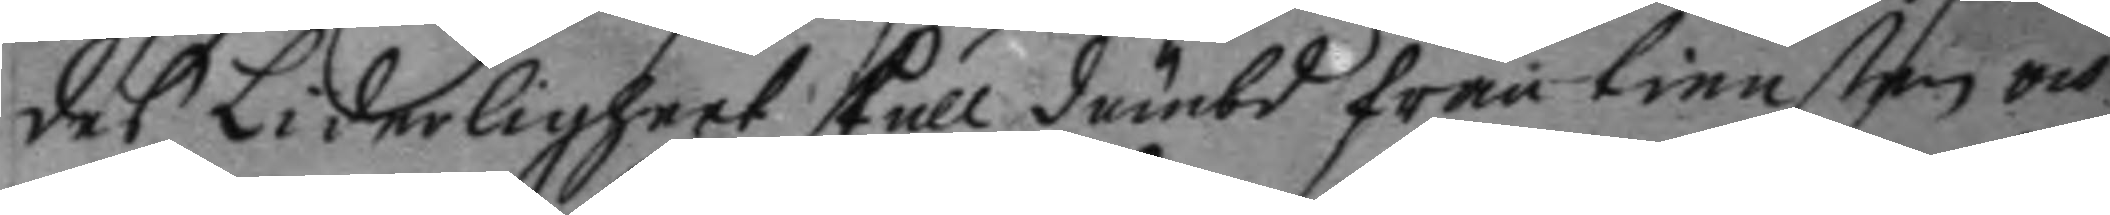des Liderligheet skull dömbd från tiensten och
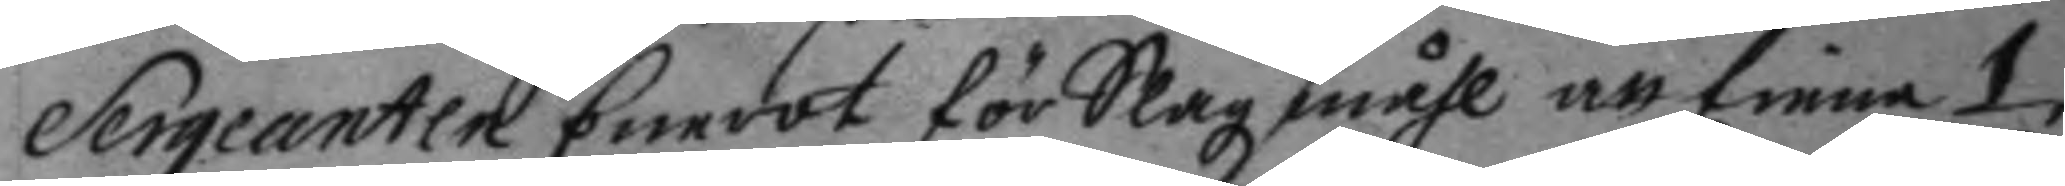Sergeanten Enerot för Slagzmåhl att tiena 1
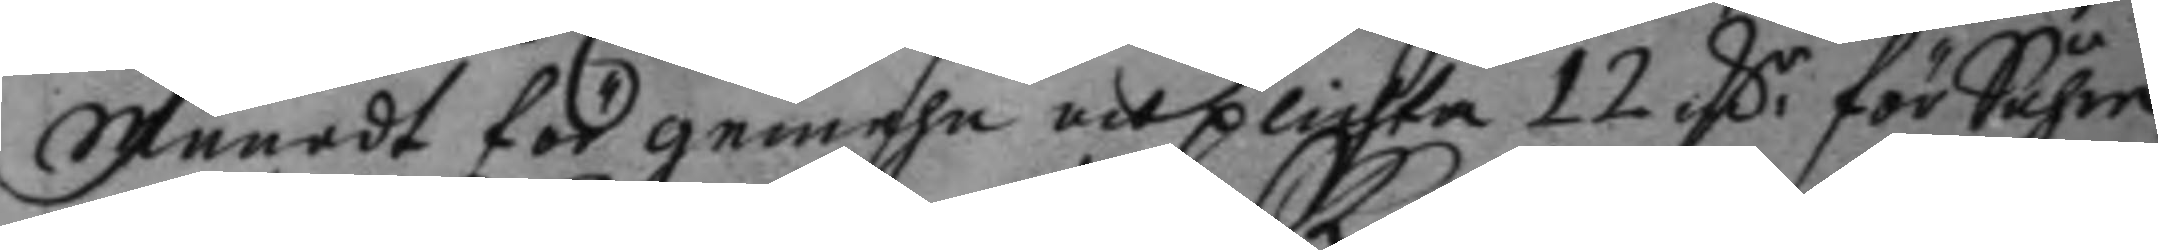Månad för gemehn och plichta 12 C:r för Såhre
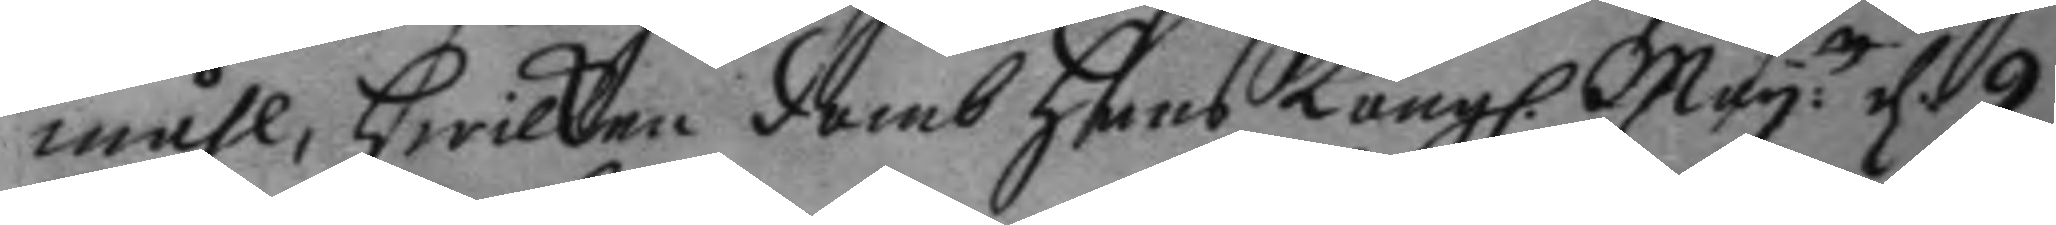måhl, hwilken domb hans Kongl. May:tt d. 9
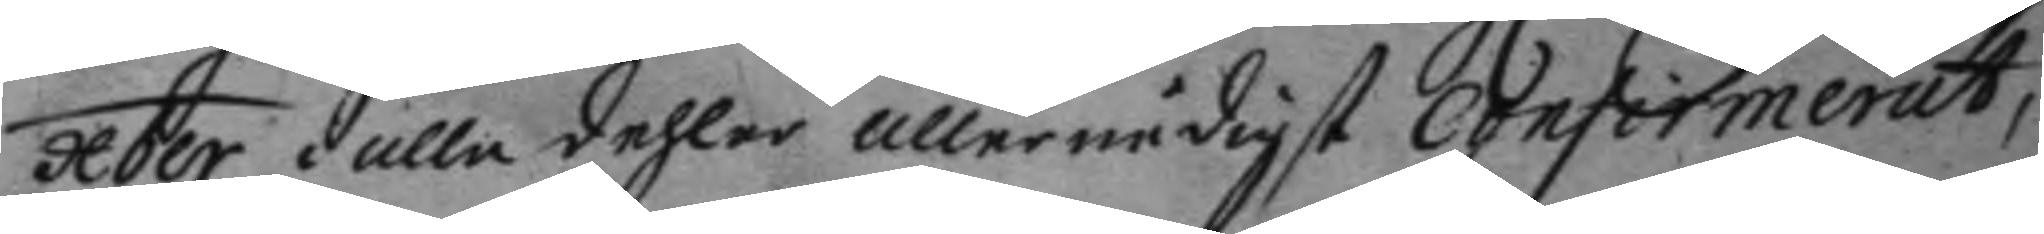xber i alla dehlar allernådigst confirmerat,
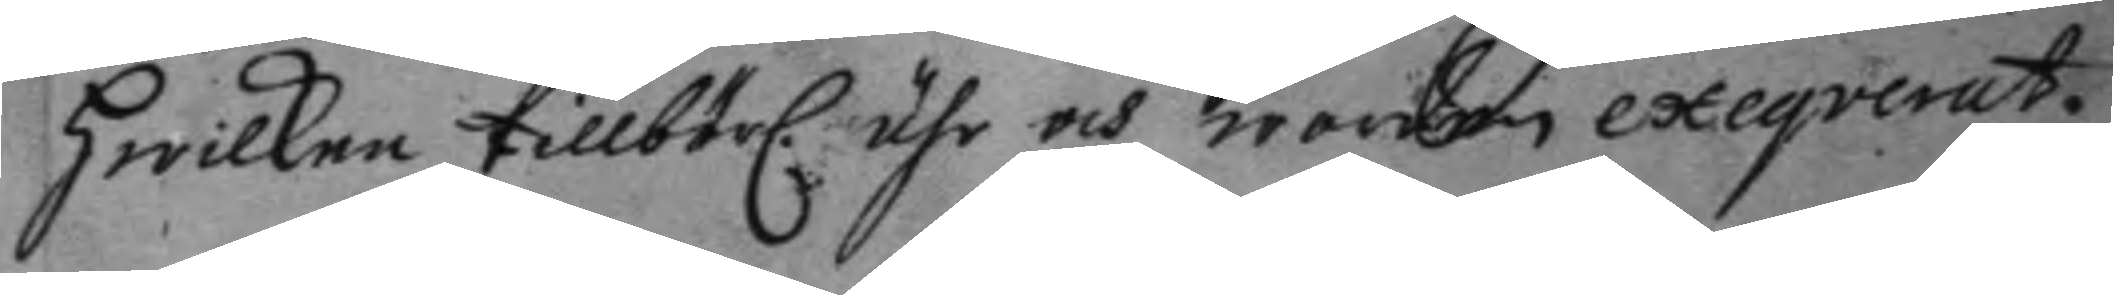hwilken tillbörl. ähr och worden exeqverat.
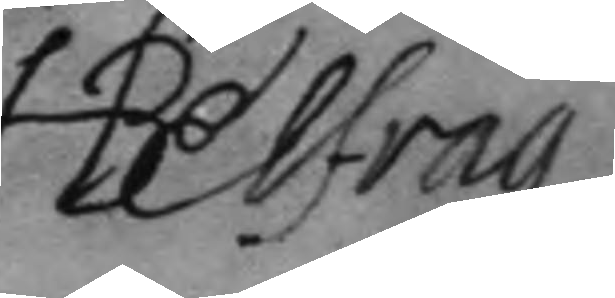H.Belfrag
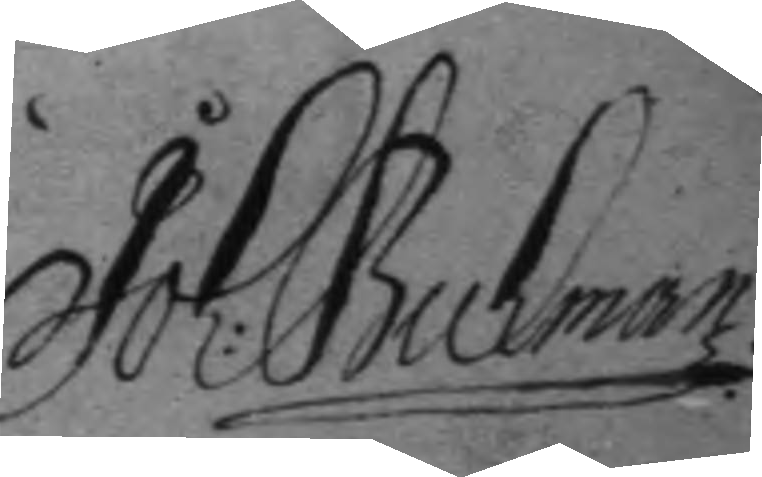Joh: Buckman
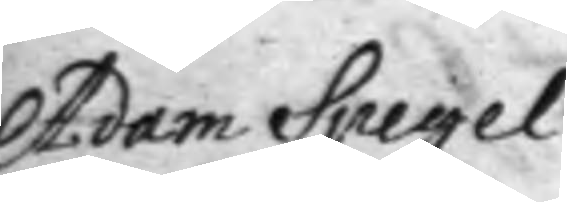Adam Spegel
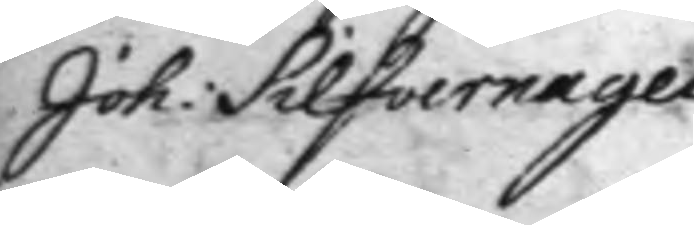Joh: Silfvernagel
